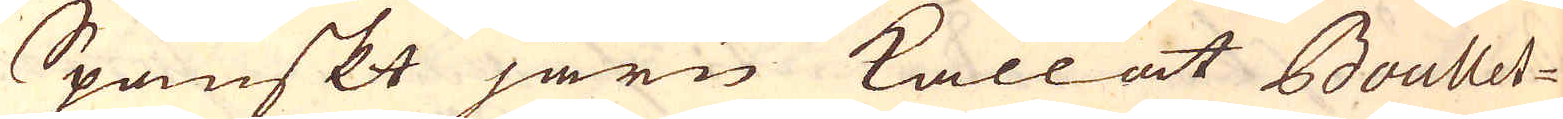Spanskt järn kallat Boullet-
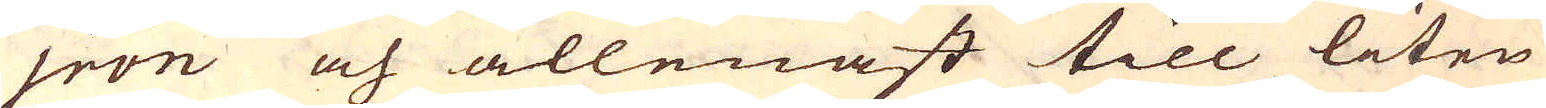jron och allenast till liten
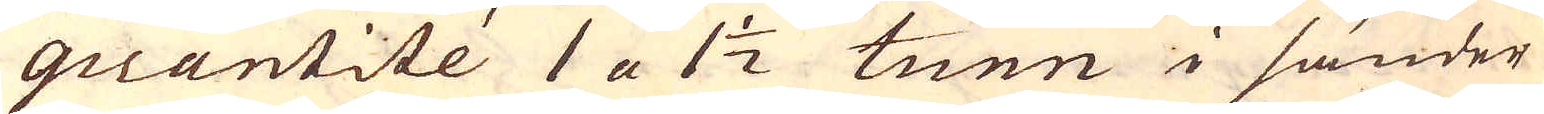quantité 1 a 1 1/2 tunn i sänder
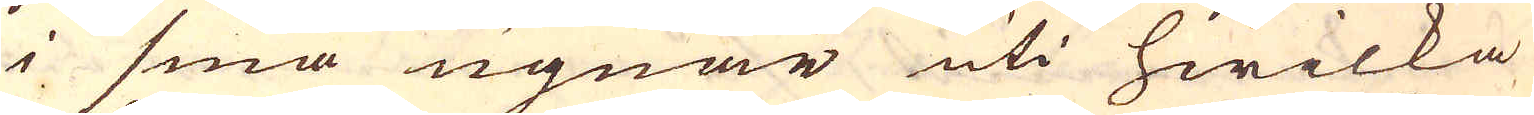i små ugnar uti hwilka
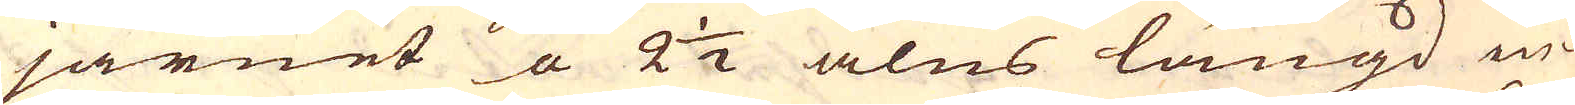järnet a 2 1/2 alns längd in-
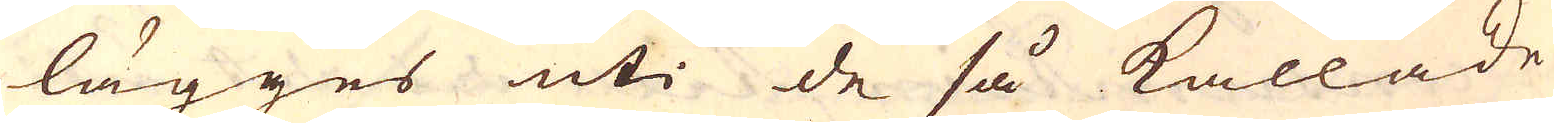lägges uti de så kallade
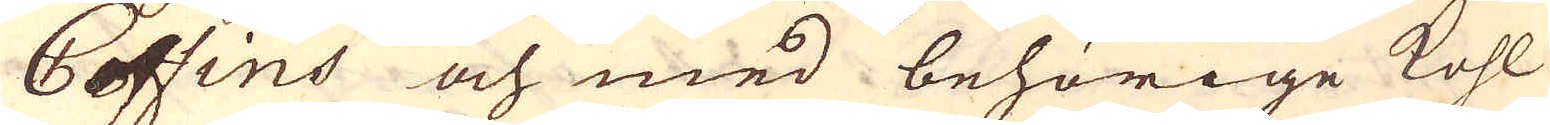Coffins och med behörige kohl
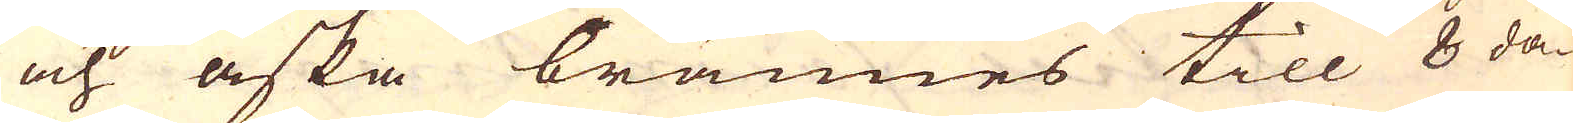och aska brännes till 8 da-
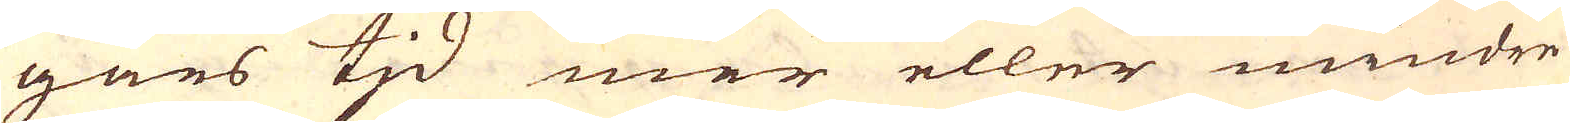gars tjd mer eller mindre
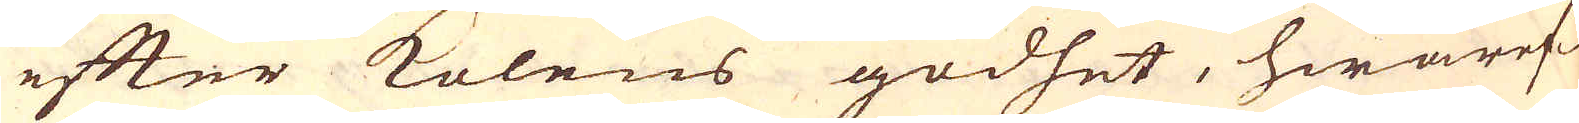efter kolens godhet, hwaref-
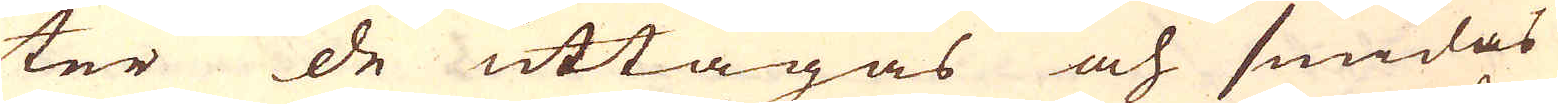ter de uttagas och smidas
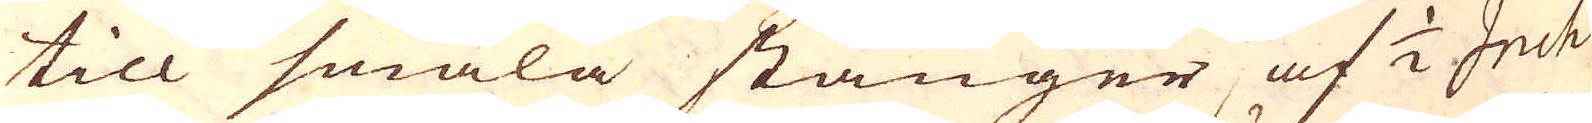till smala stänger af 1/2 Inch
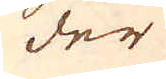der
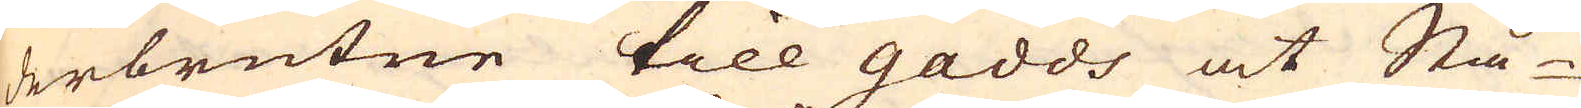derbrutne till gadds at Stå-
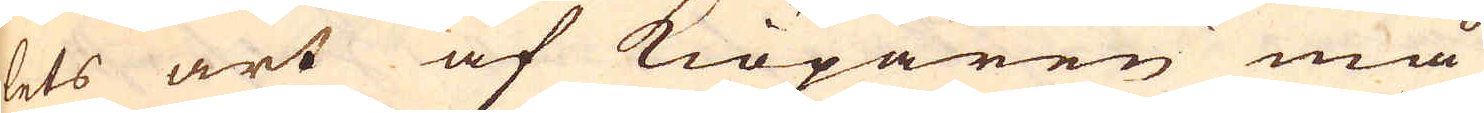lets art af Kiöparen må
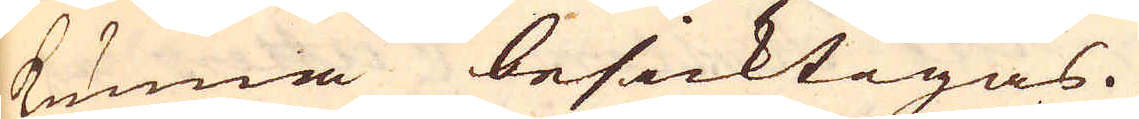kunna besicktigas.
